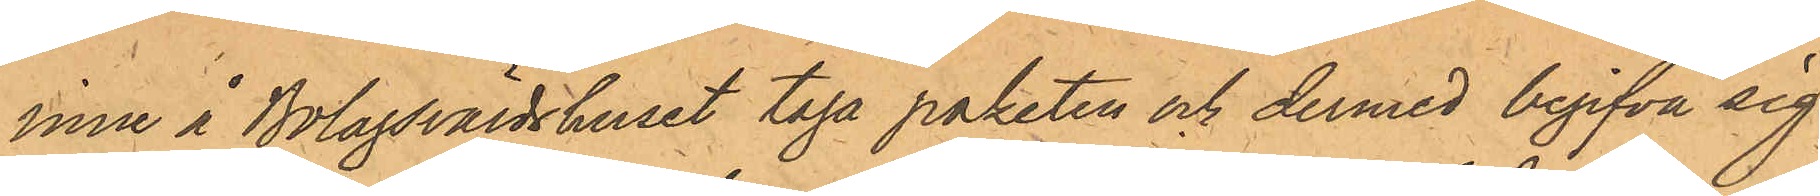inne å Bolagsvärdshuset taga paketen och dermed begifva sig
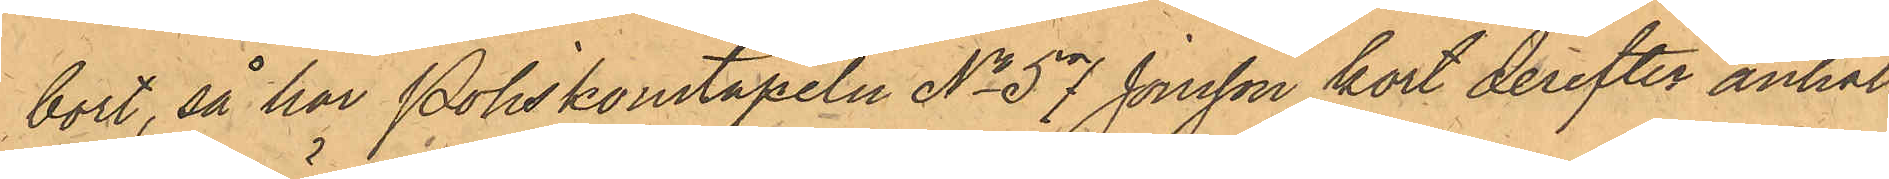bort, så har Poliskonstapeln No 57 Jonsson kort derefter anhål¬
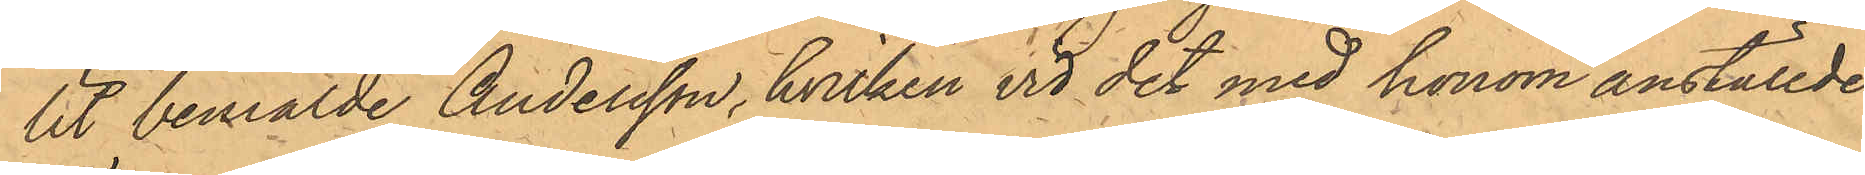lit bemälde Andersson, hvilken vid det med honom anställde
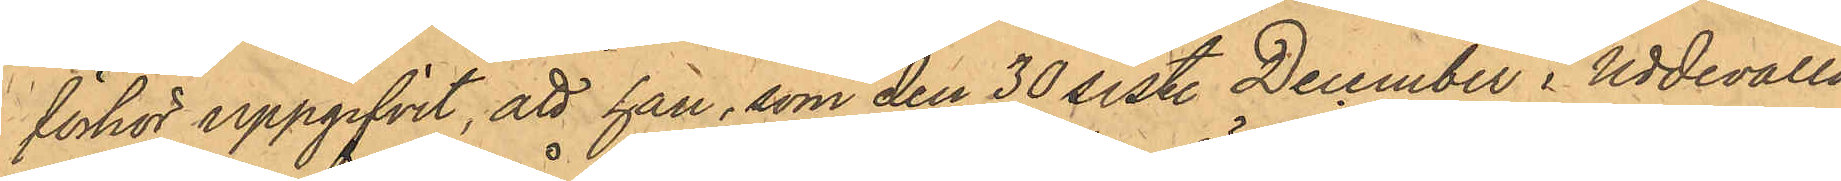förhör uppgifvit, att han, som den 30 sist. December i Uddevalla
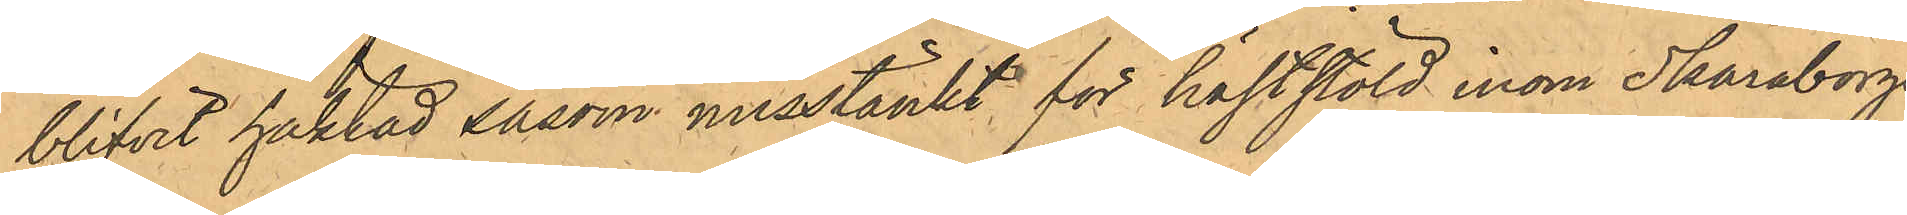blifvit häktad såsom misstänkt för häststöld inom Skaraborgs
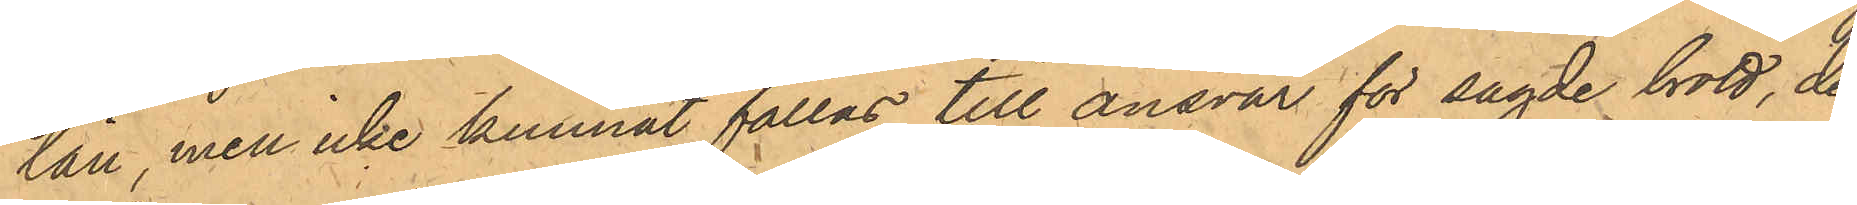län, men icke kunnat fällas till ansvar för sagde brott, den
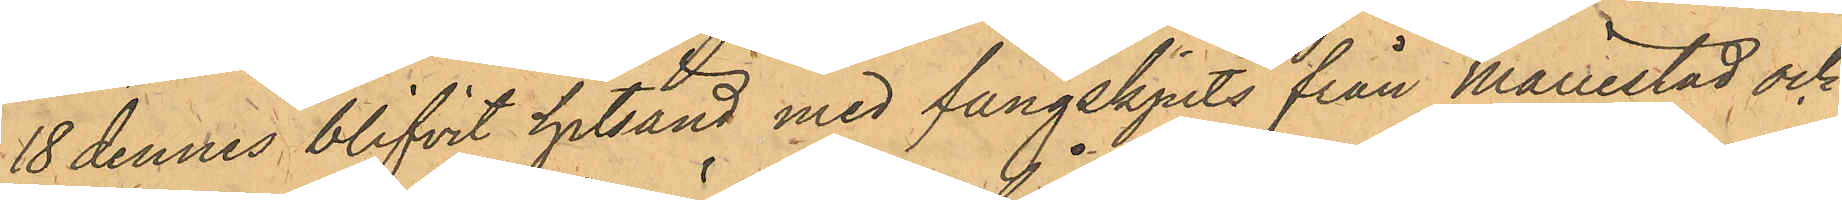18 dennes blifvit hitsänd med fångskjuts från Mariestad och
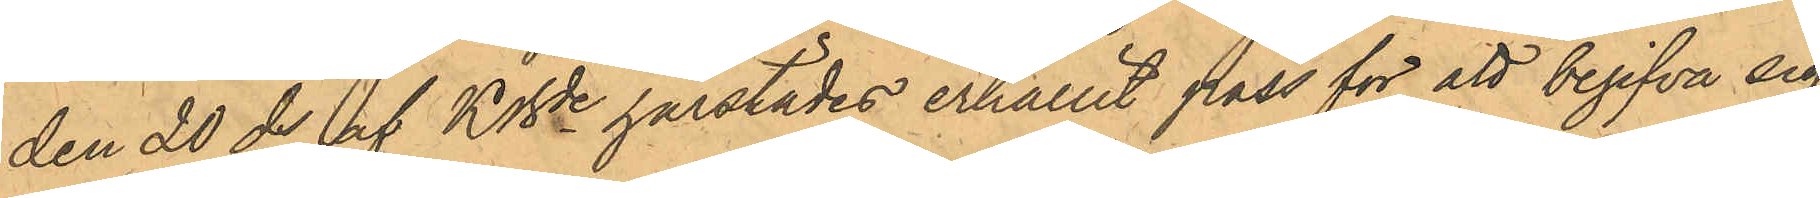den 20 ds af KBde härstädes erhållit pass för att begifva sig 
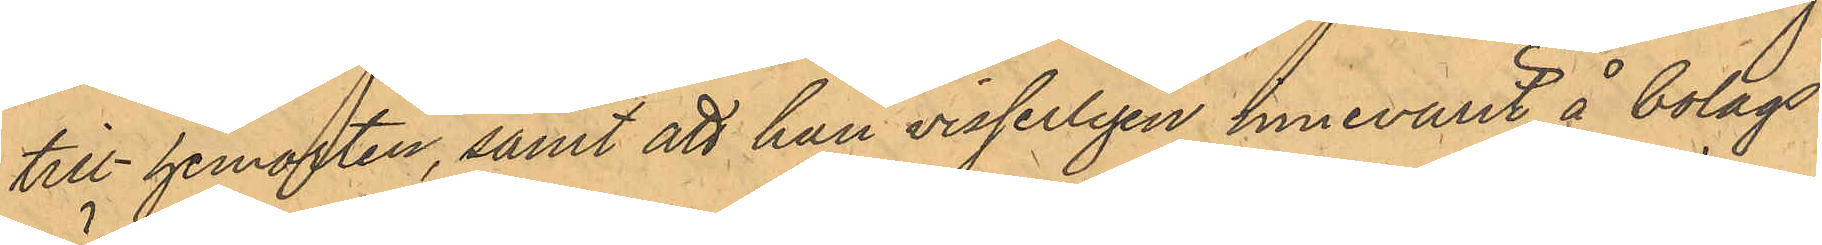till hemorten, samt att han visserligen innevarit å bolags¬
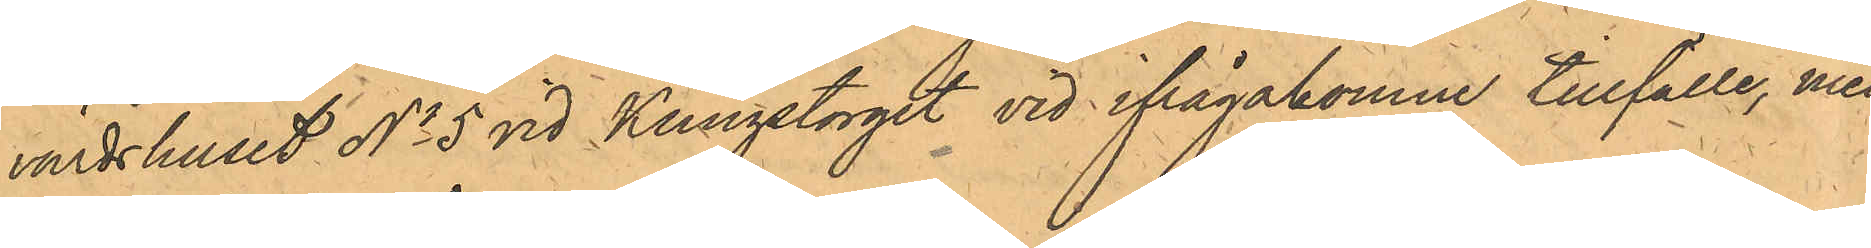värdshuset No 5 vid Kungstorget vid ifrågakomne tillfälle, men
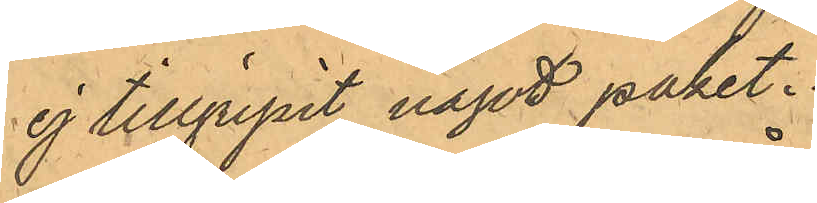ej tillgripit något paket.
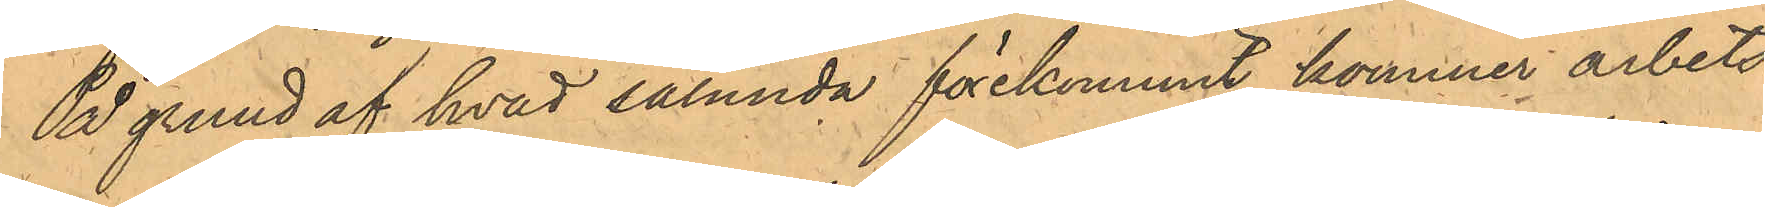På grund af hvad sålunda förekommit, kommer arbets¬
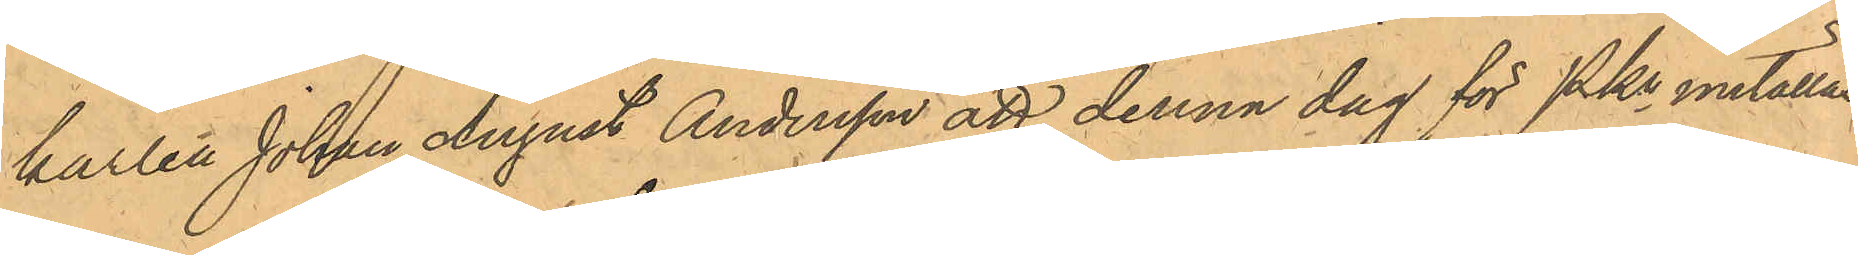karlen Johan August Andersson att denna dag för PKn inställas.
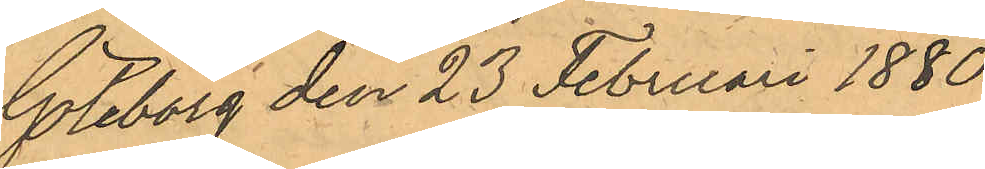Göteborg den 23 Februari 1880.
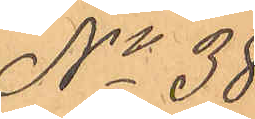No 38.
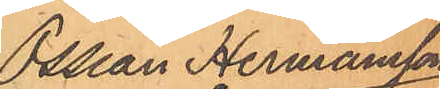Ossian Hermansson
